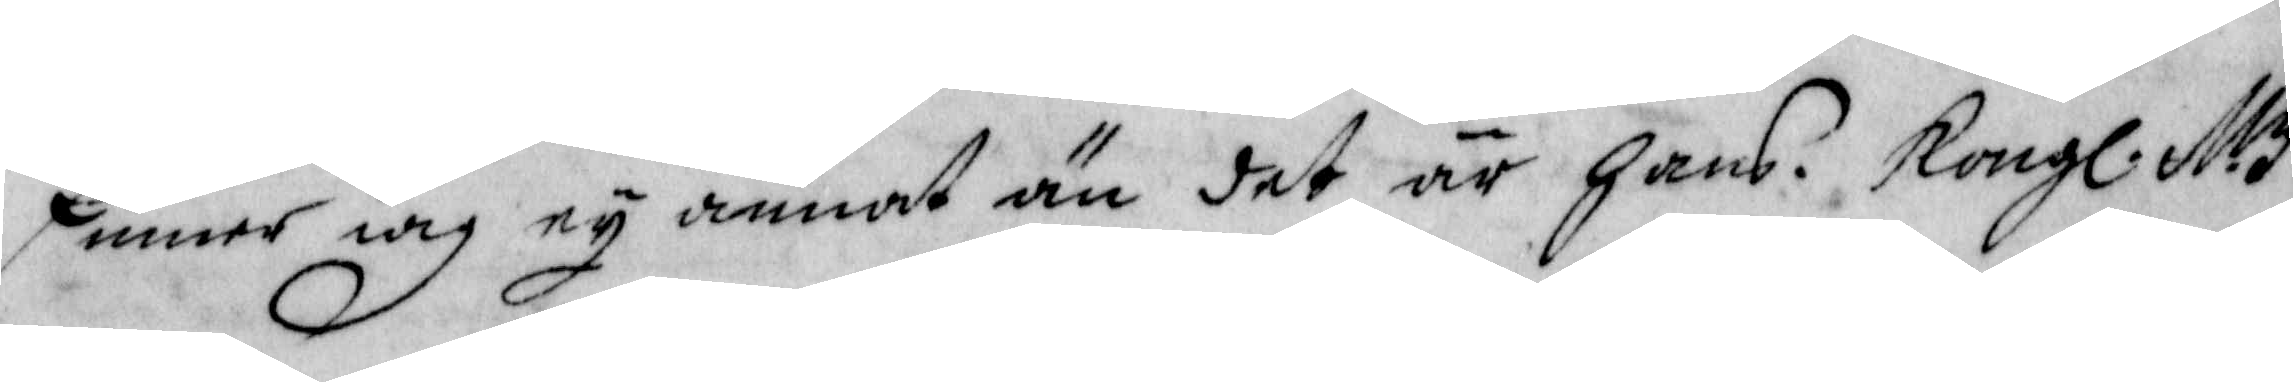finner iag ey annat än det är hans Kongl. M:z
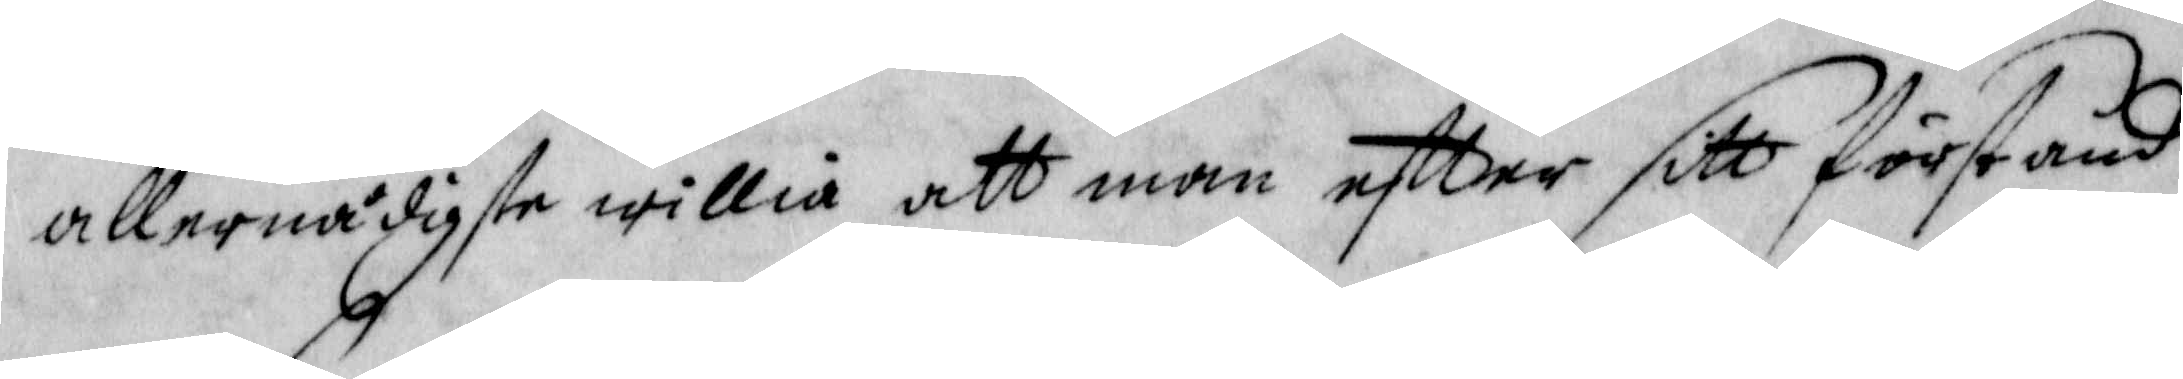allernådigste willia att man eftter sitt förstånd
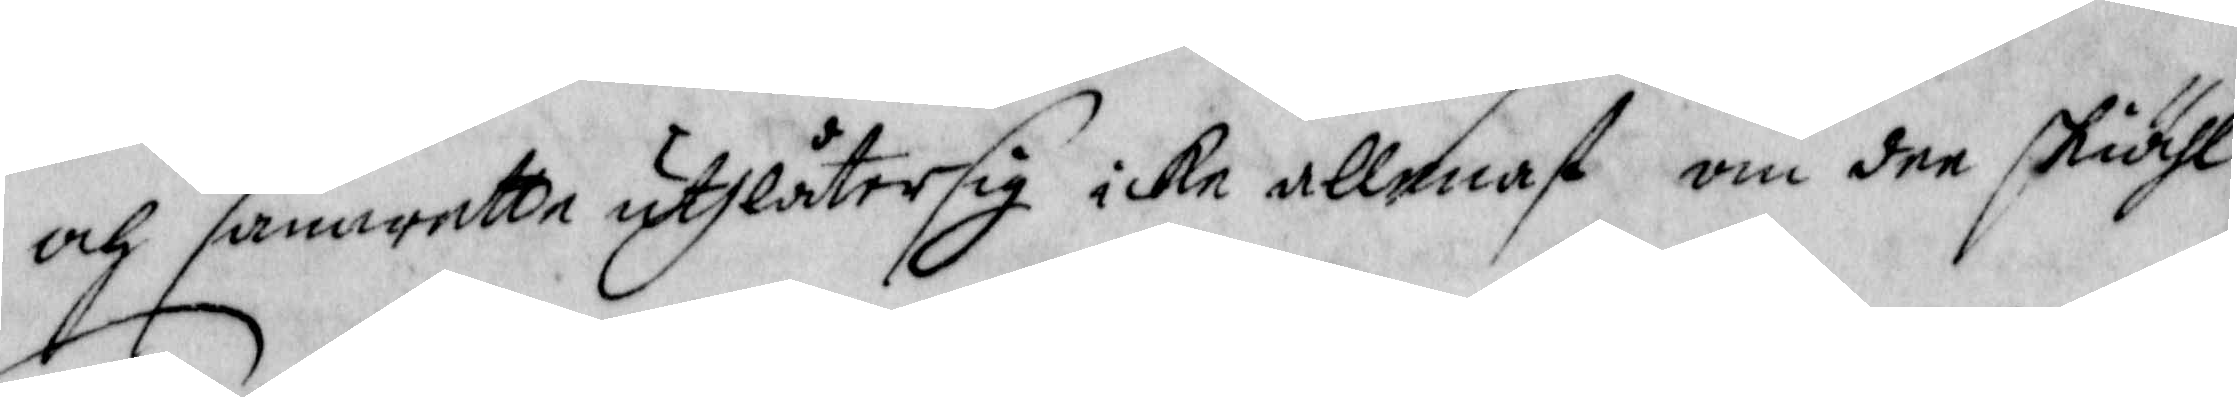och samwette uthlåter sig icke allenast om dee skiähl
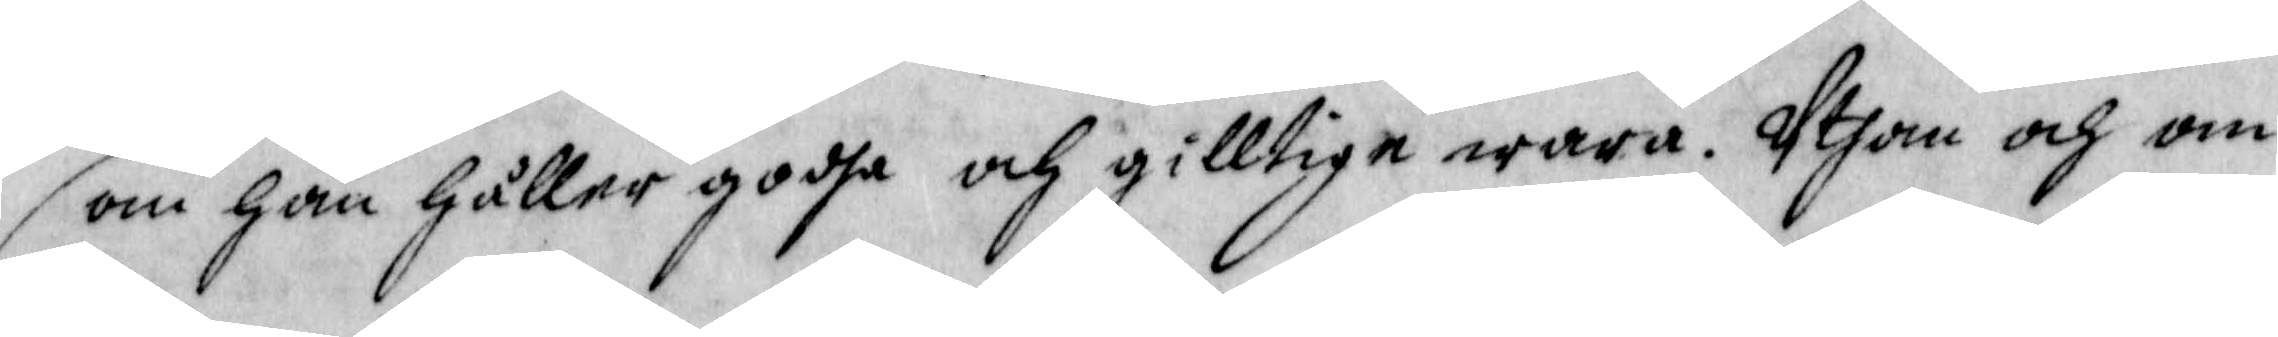som han håller godha och gilltige wara. Uthan och om
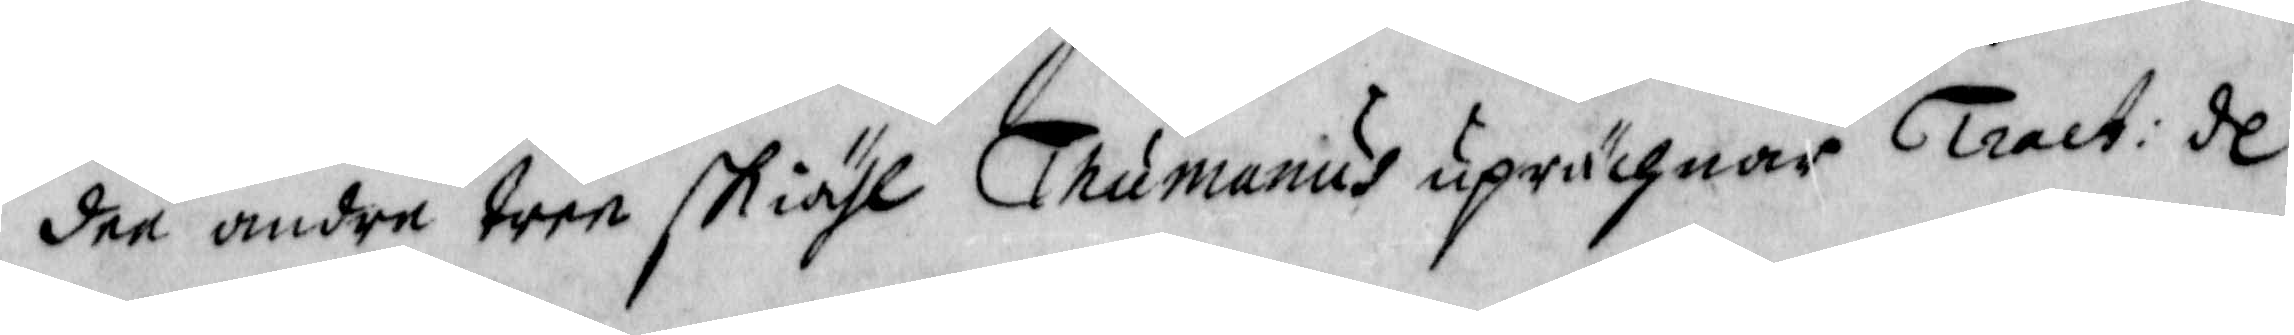dee andra tree skiähl Thumanius uprächnar Tract: de
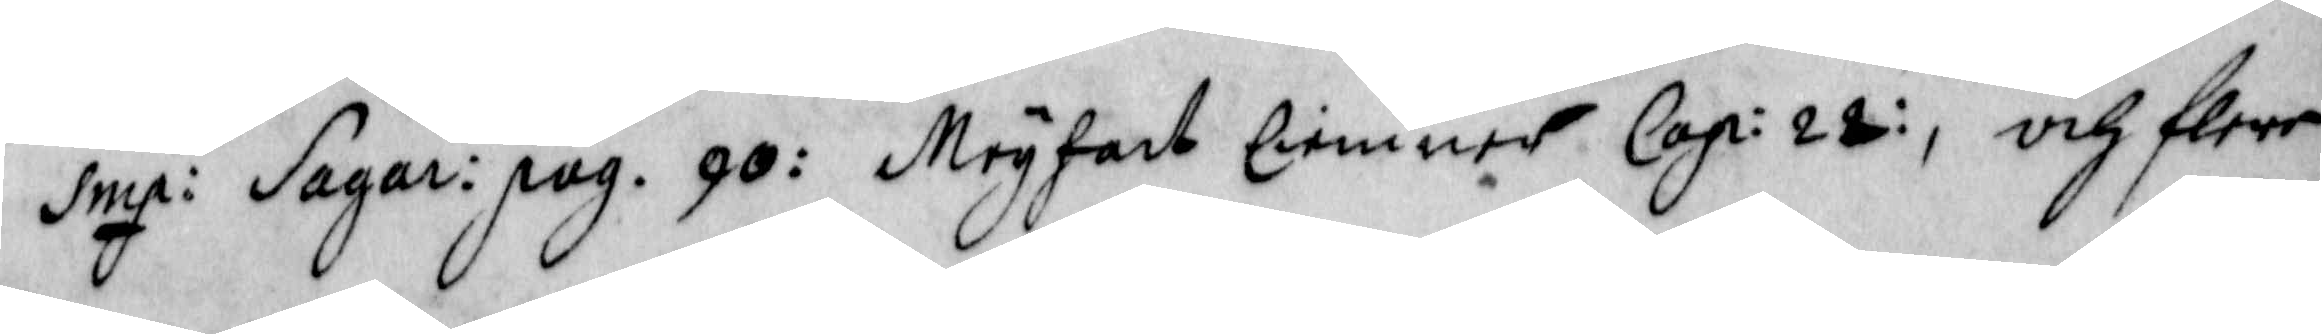imp: Sagar: pag. 90: Meyhart Ciemner Cap: 22:, och flere
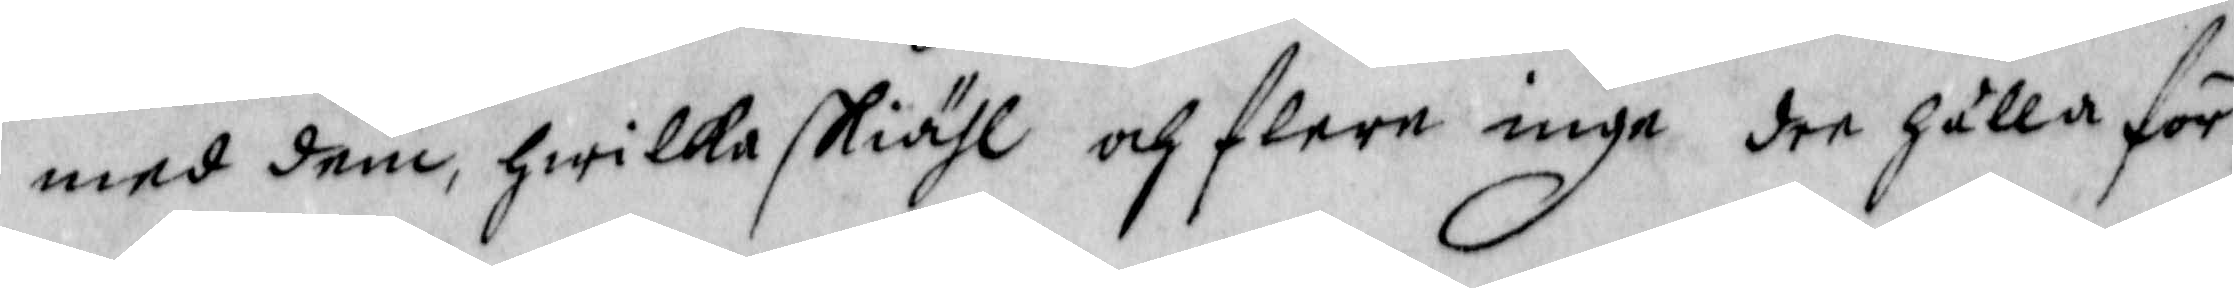med dem, hwilka skiähl och flere inga dee gäller för
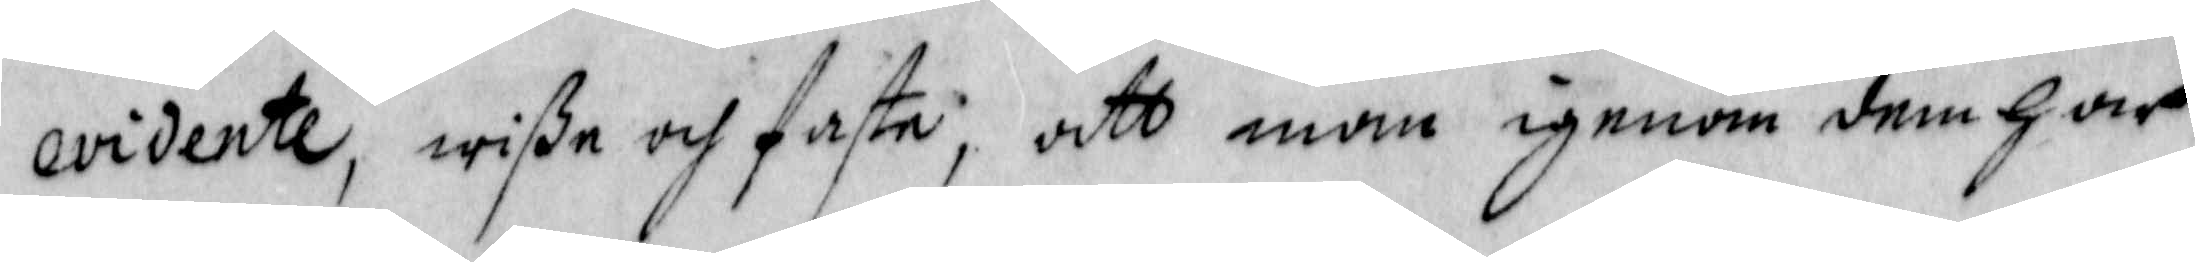evidente, wiße och fasta, att man igenom dem har
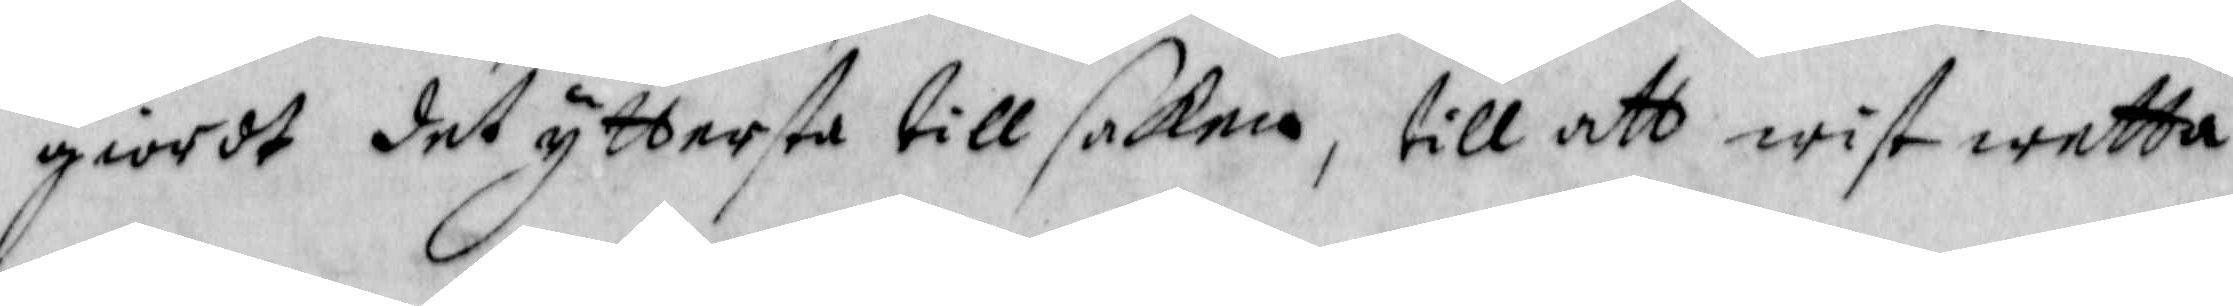giordt det yttersta till sakeb, till att wist wetta
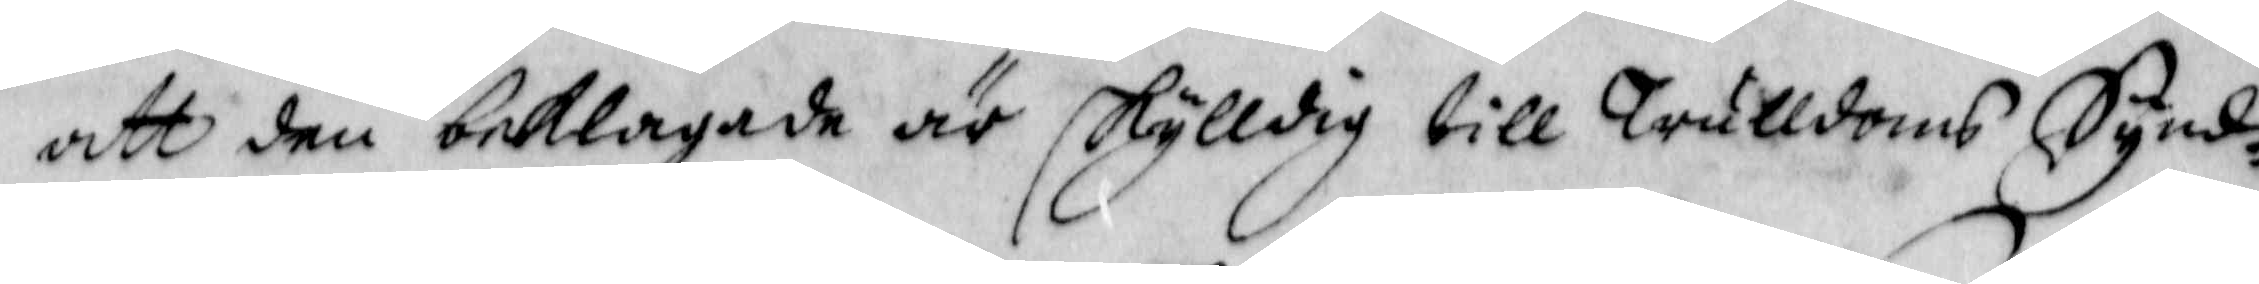att den beklagade är skylldig till Trulldoms Synd¬
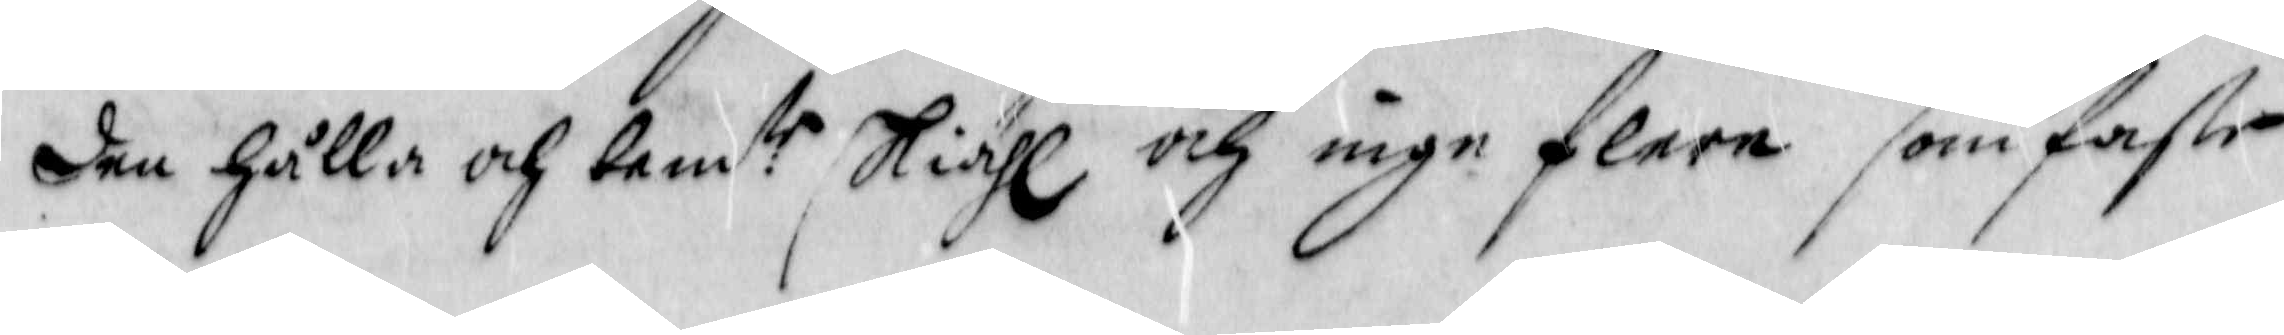den hålla och bem:te skiähl och inge flere som faste
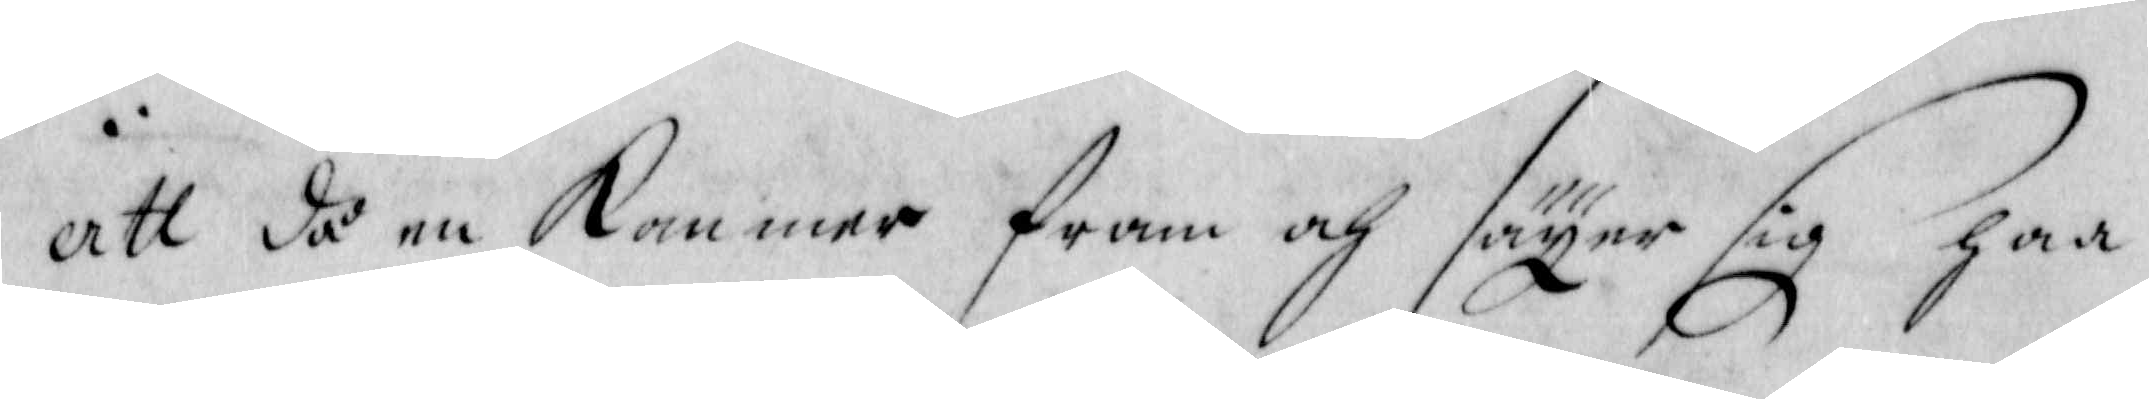att då en kommer fram och sager sig haa
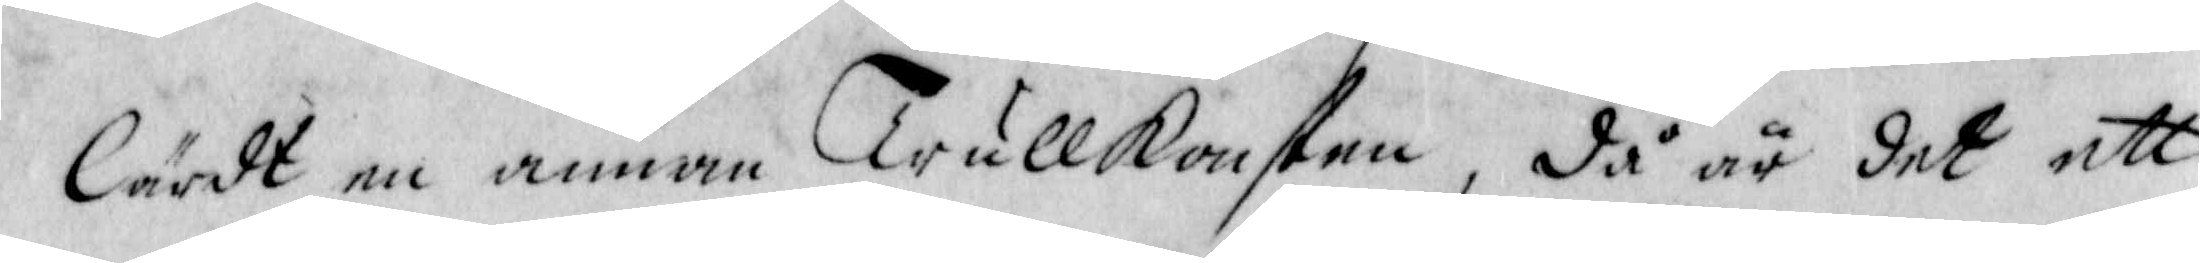lärdt en annan Trullkonsten, då är det ett
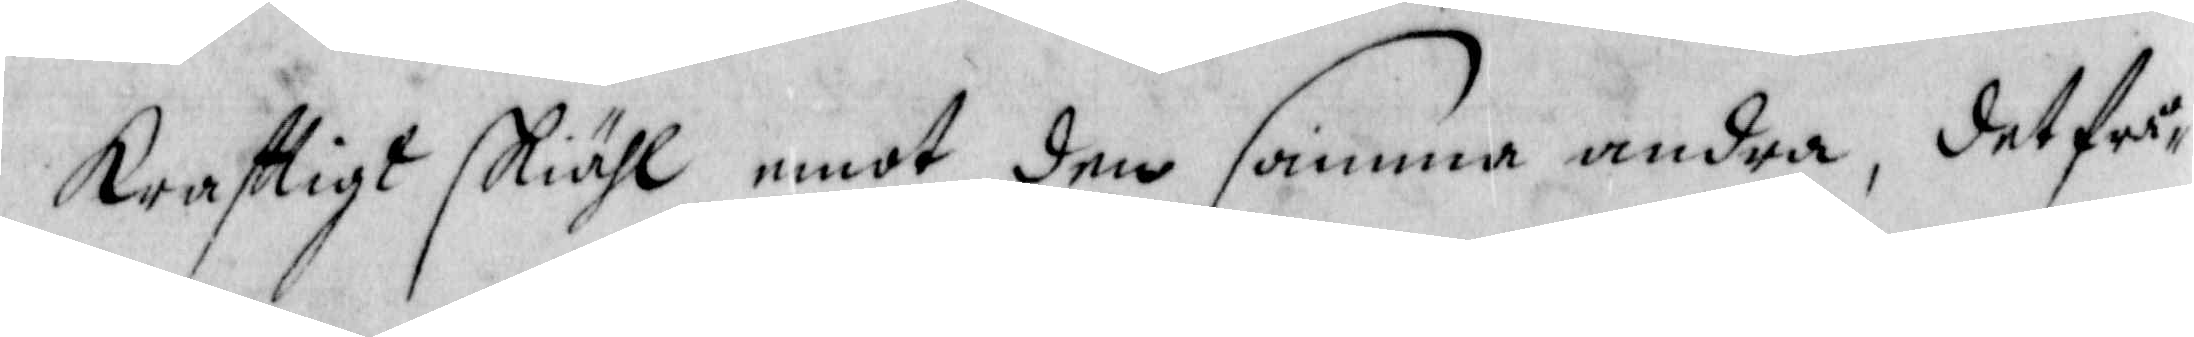krafttigt skiähl emot den samma andra, det frå¬
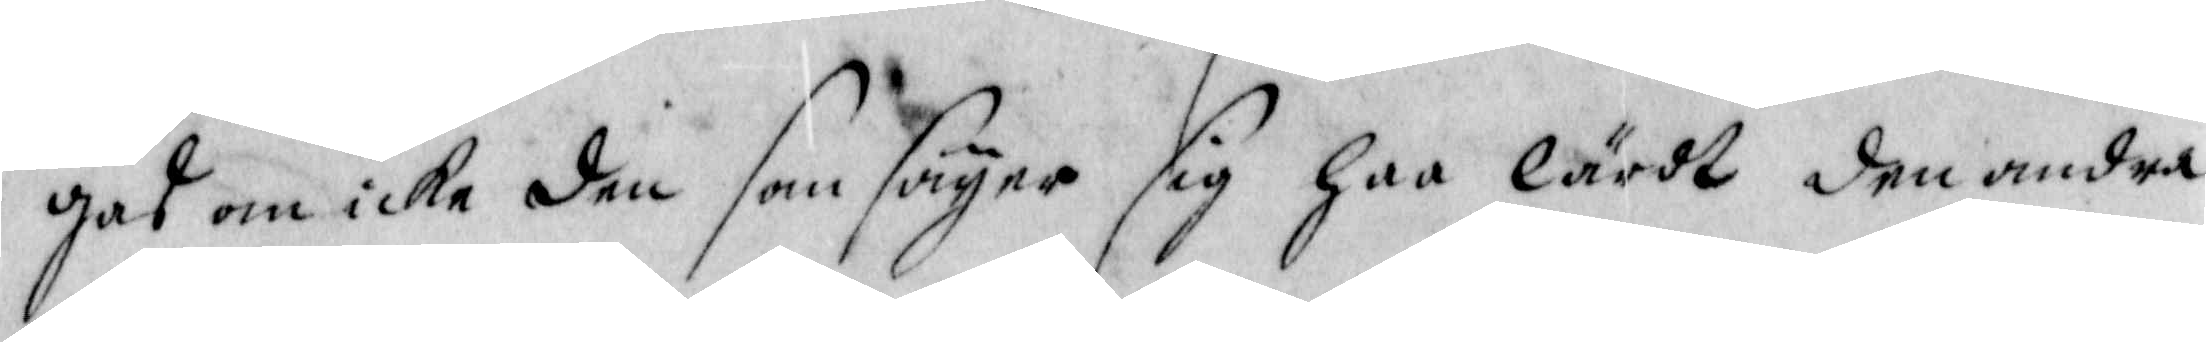gas om icke den som säyer sig haa lärdt den andra
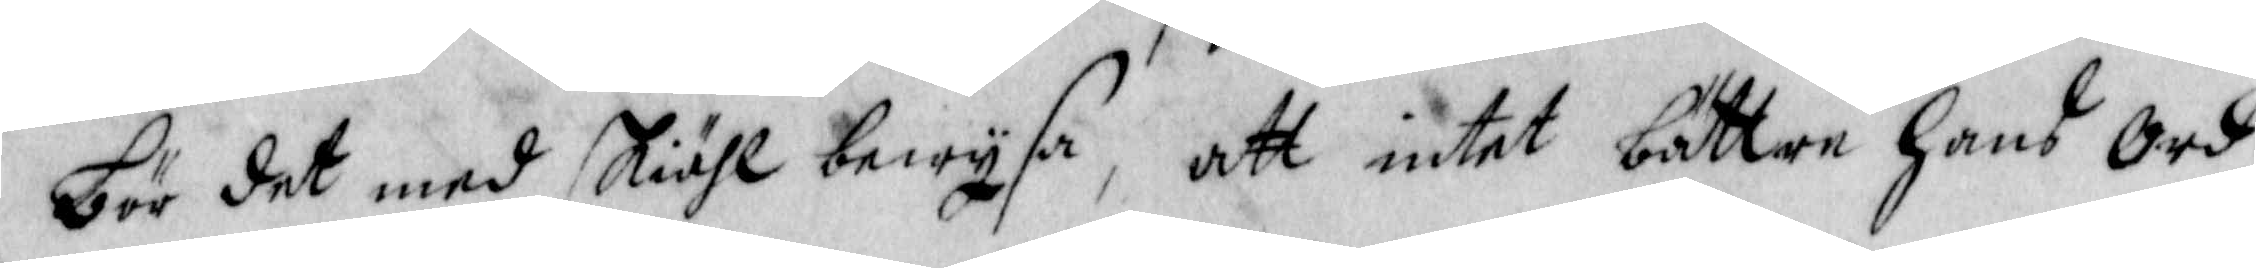bör det med skiähl bewysa, att intet bättre hans Ord
